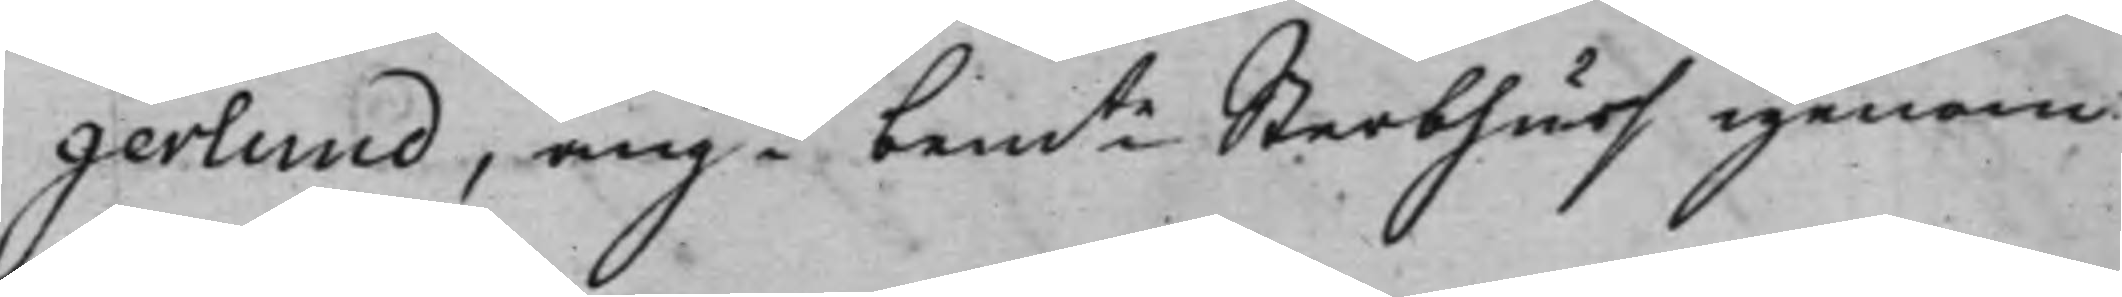gerlund, angde bemte Sterbhuss igenom
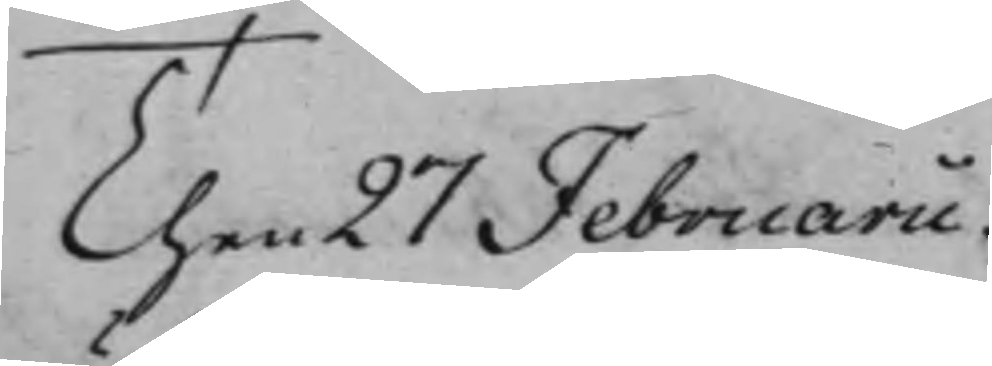Then 27 Februarii.
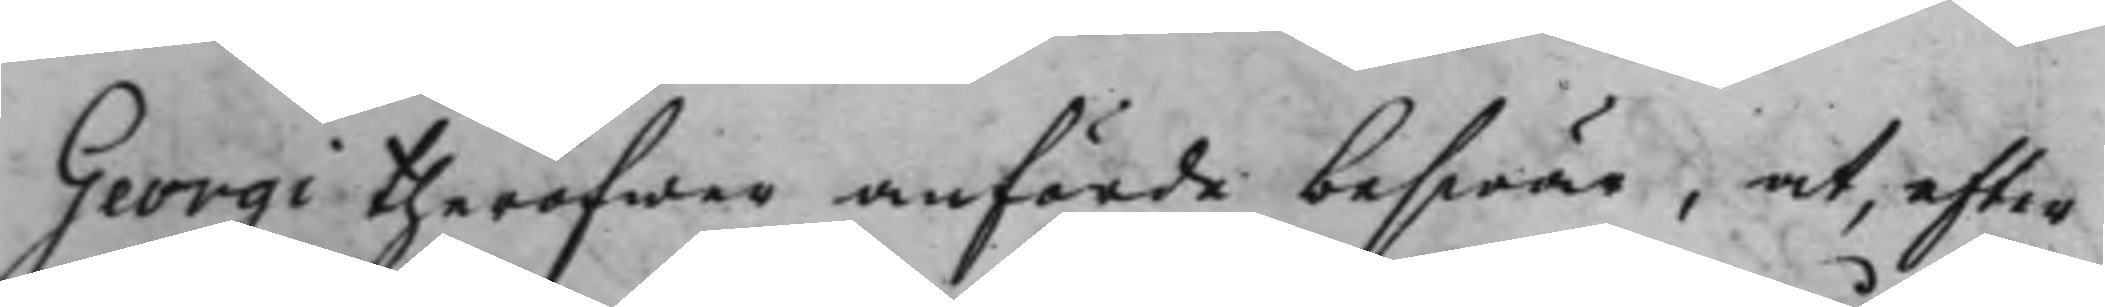Georgi theröfwer anförde beswär, at, efter
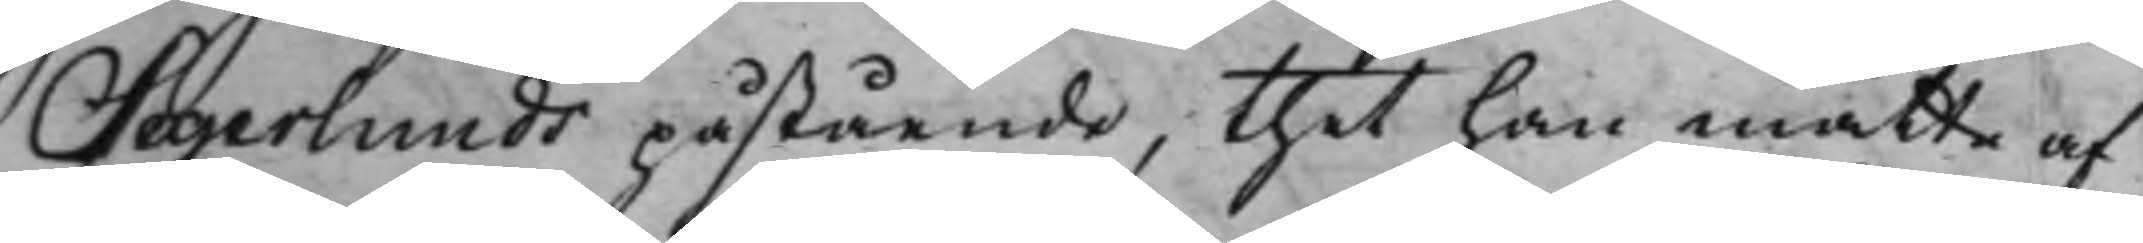Segerlunds påstående, thet han måtte af
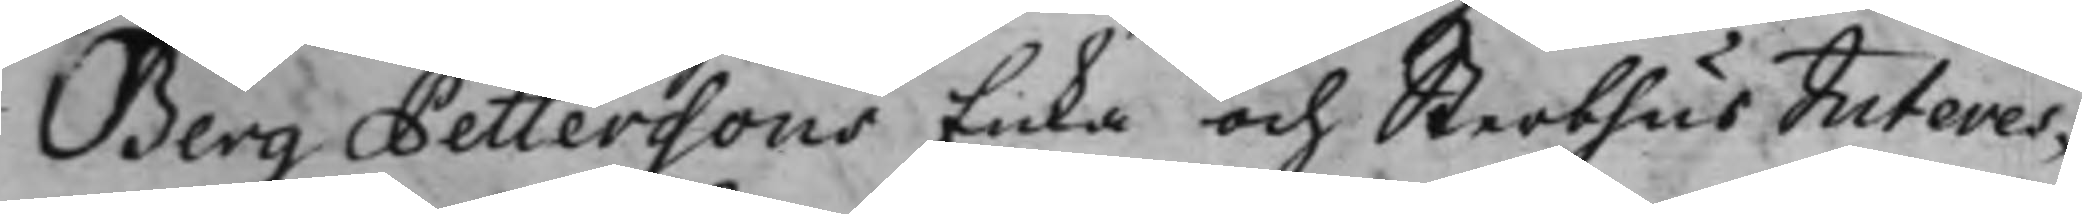Berg Petterssons Enka och Sterbhus Interes¬
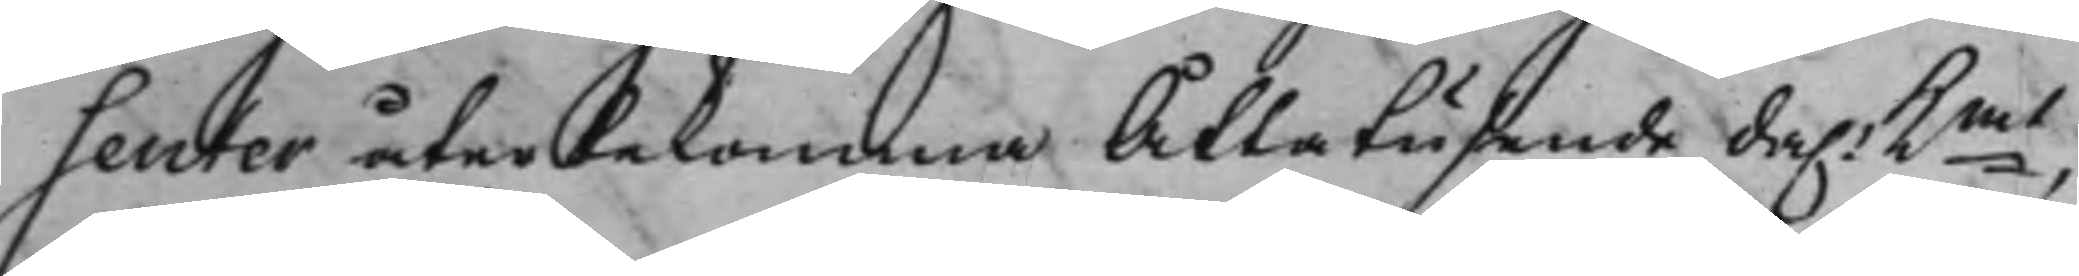senter återbekomma Åttatusende da.r Kmt,
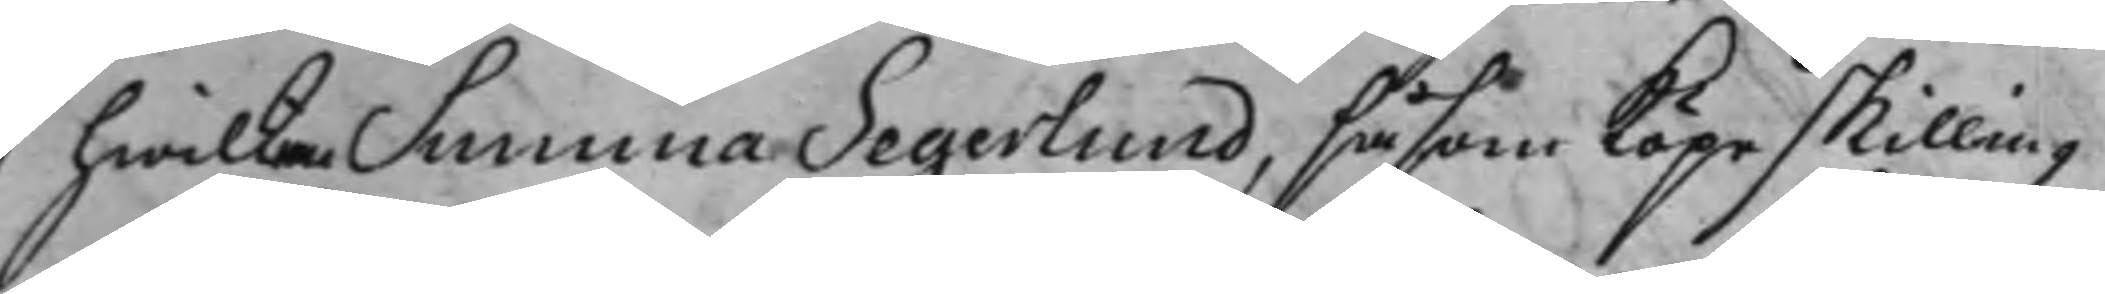hwilken Summa Segerlund, såsom Köpeskilling
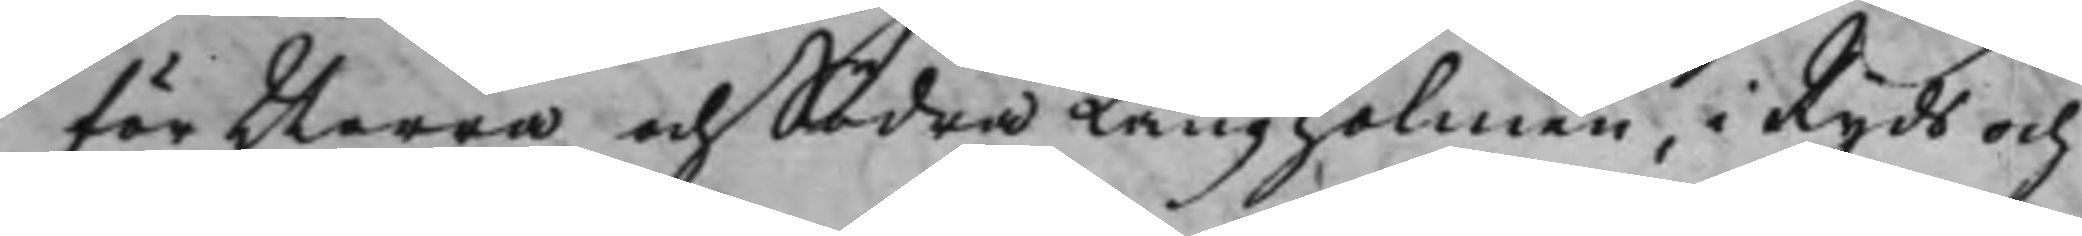för Norra och Södra Långholmen, i Ryds och
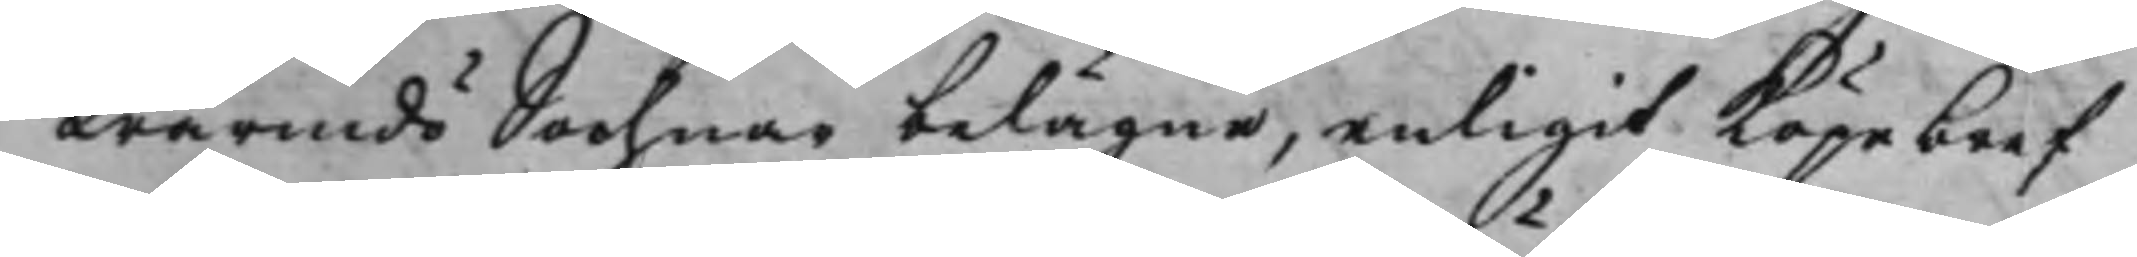Wärmdö Sochnar belägne, enligit Köpebref
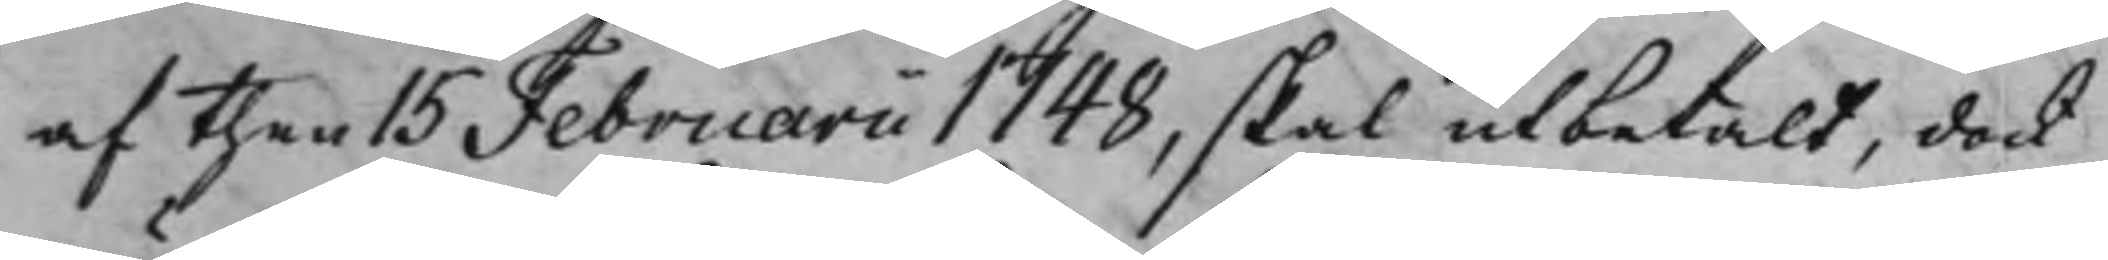af then 15 Februarii 1748, skal utbetalt, dock
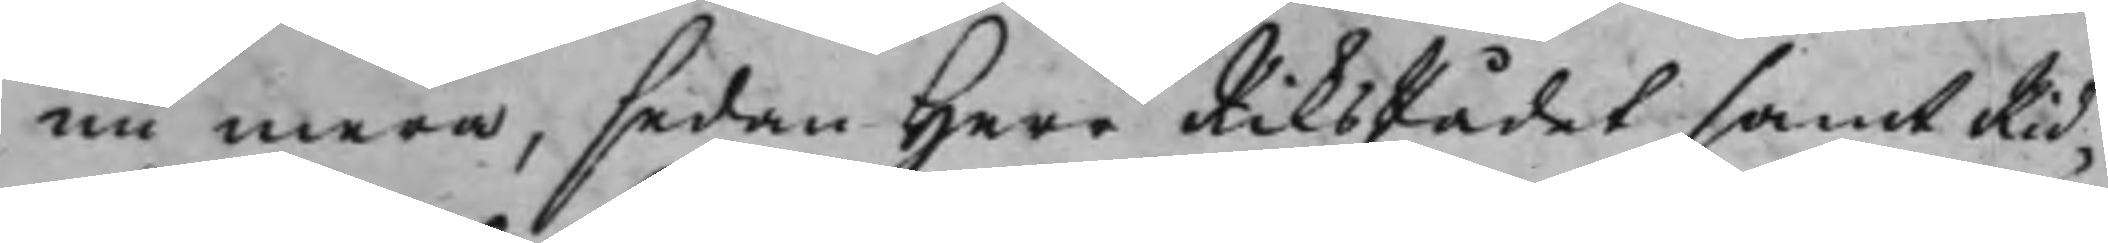nu mera, sedan Herr RiksRådet samt Rid¬
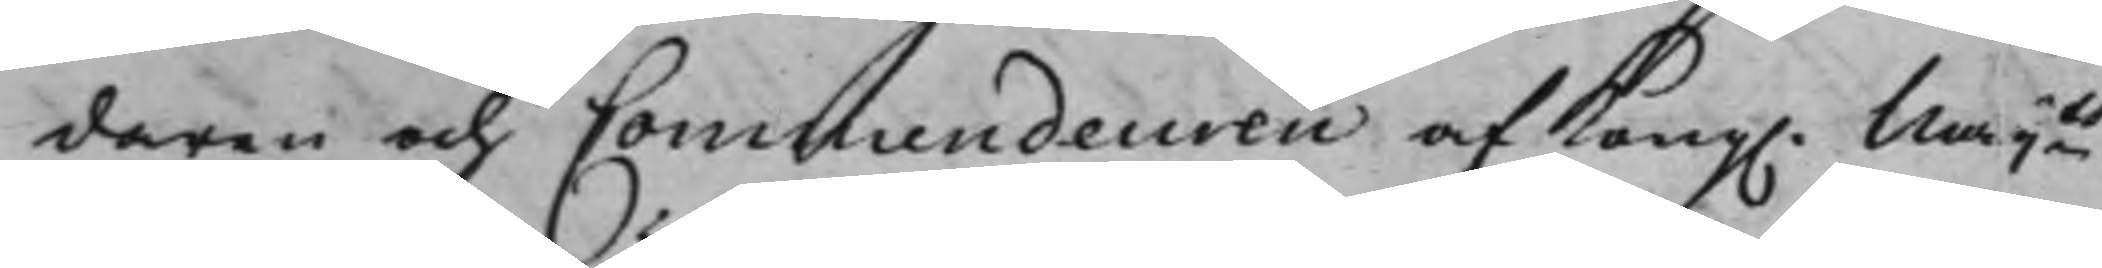daren och Commendeuren af Kong. Maijts
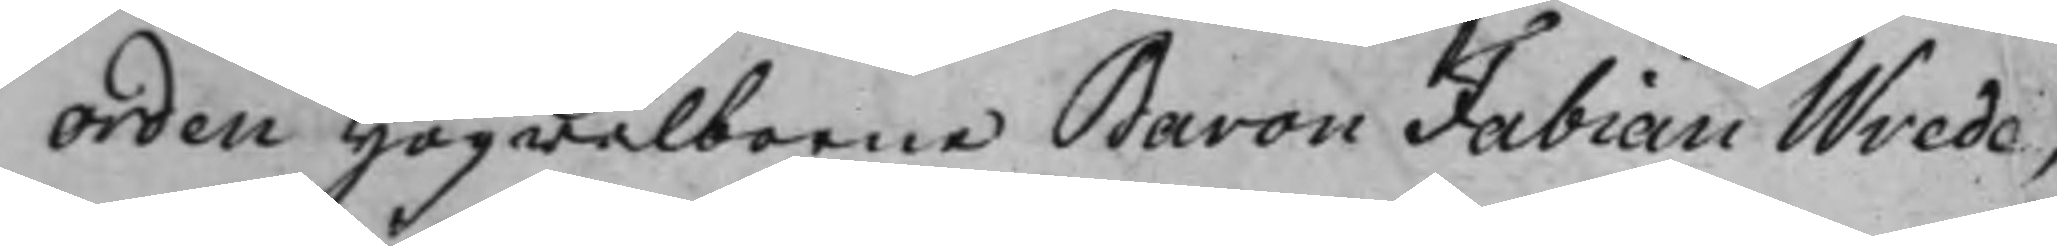Orden Högwälborne Baron Fabian Wrede,
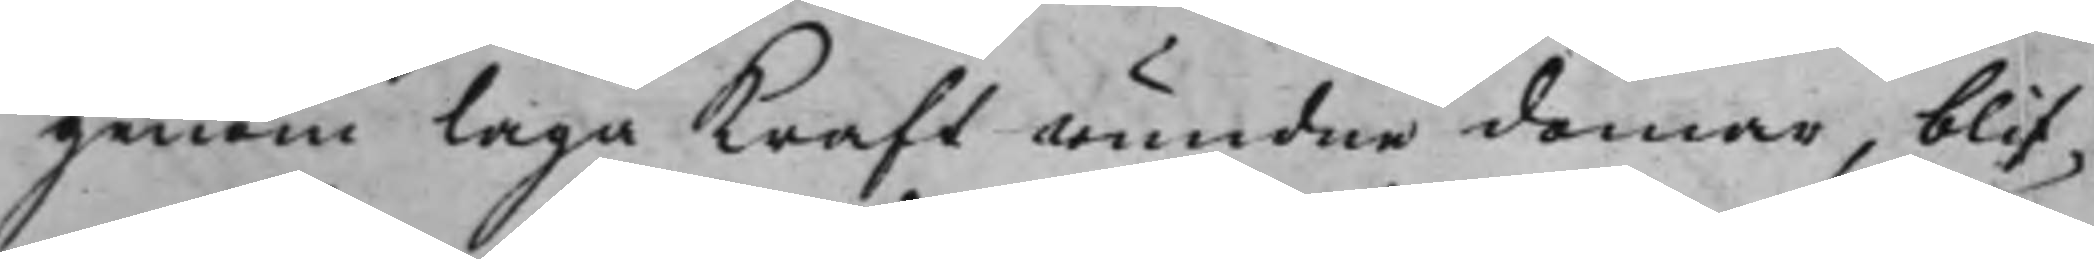genom laga Kraft wundne domar, blif¬
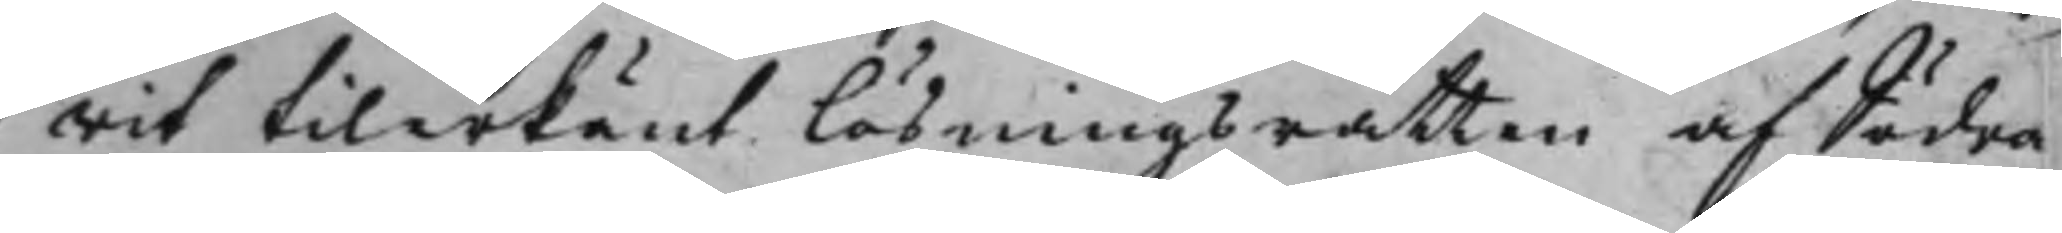wit tilerkänt lösningsrätten af Södra
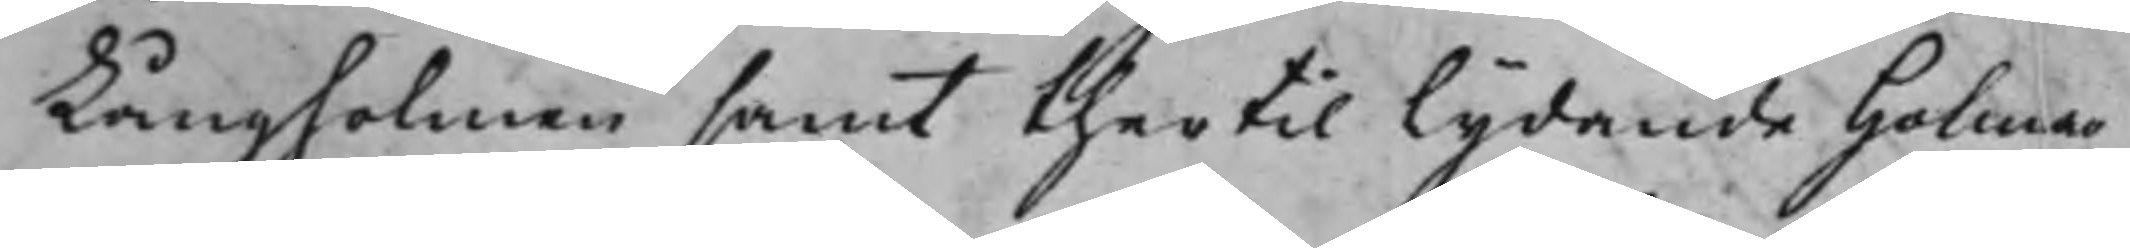Långholmen samt thertil Lydande Holmar
